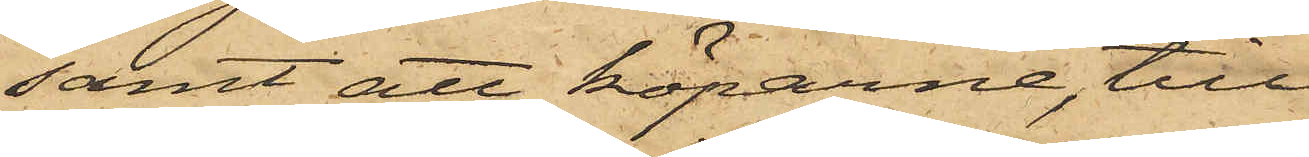;samt att köparne, till
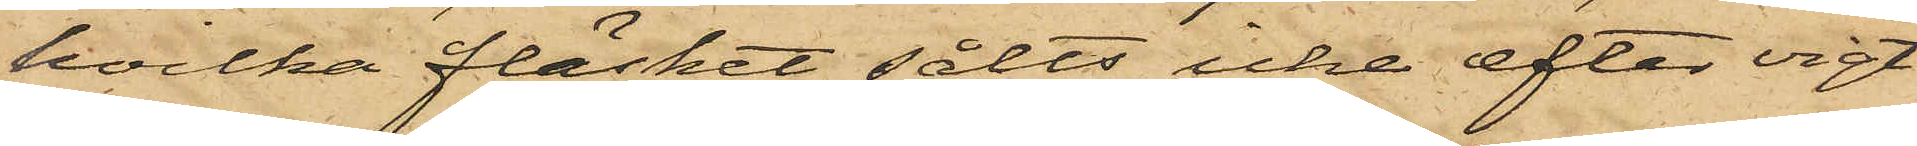hvilka fläsket sålts icke efter vigt
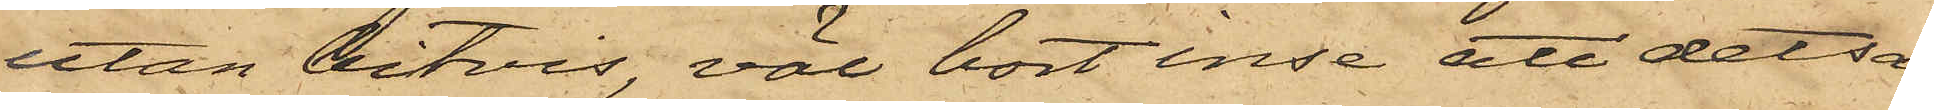utan bitvis, väl bort inse att detsam¬
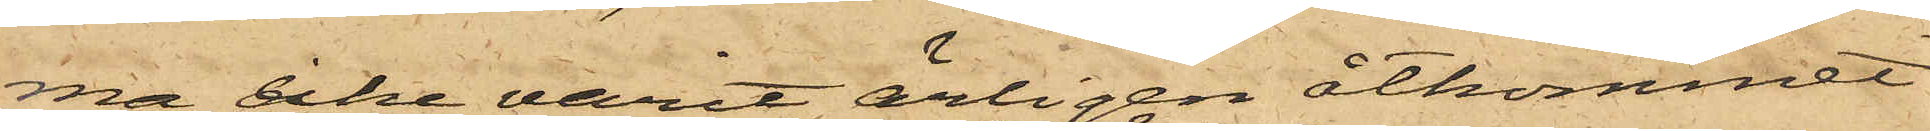ma icke varit ärligen åtkommet
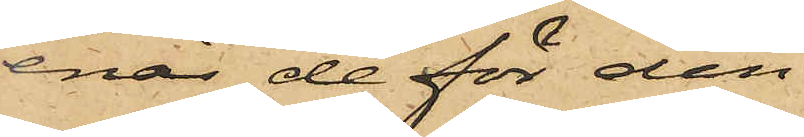enär de för den
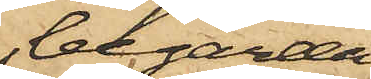begärda
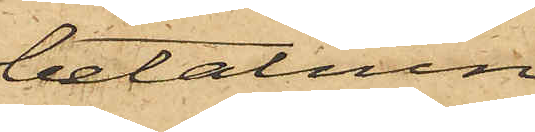betalnin¬
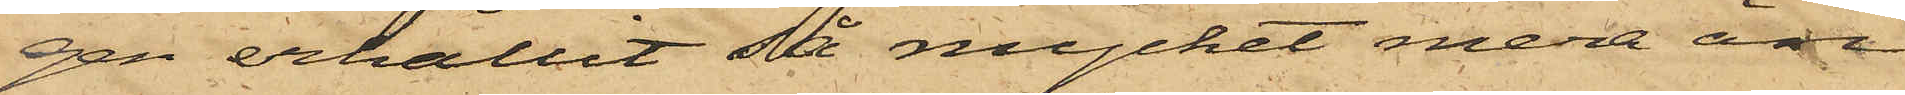gen erhållit så mycket mera än
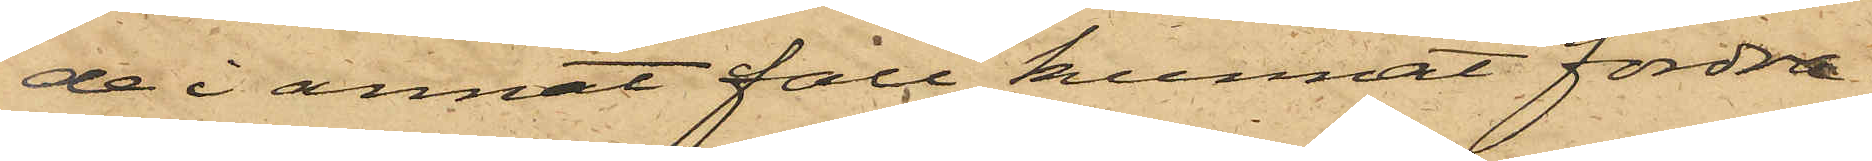de i annat fall kunnat fordra.
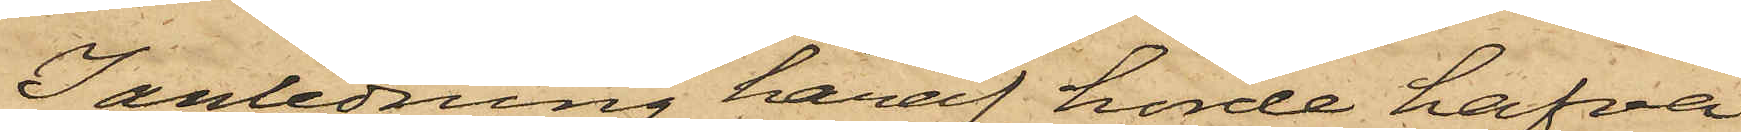I anledning häraf hörde hafva
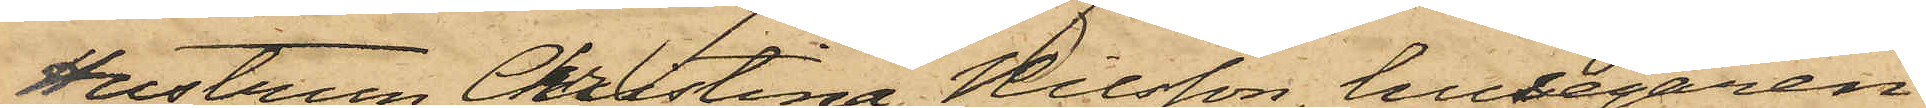Hustrun Christina Nilsson, husegaren
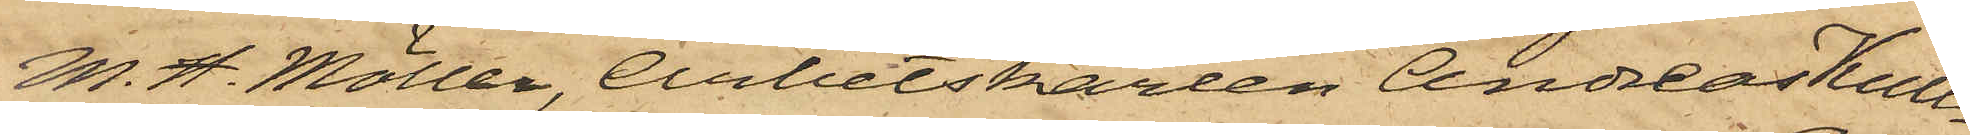M. H. Möller, Arbetskarlen Andreas Kull¬
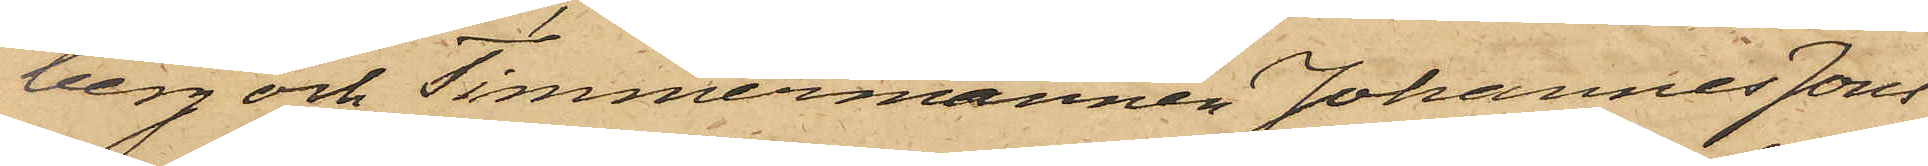berg och Timmermannen Johannes Jons¬
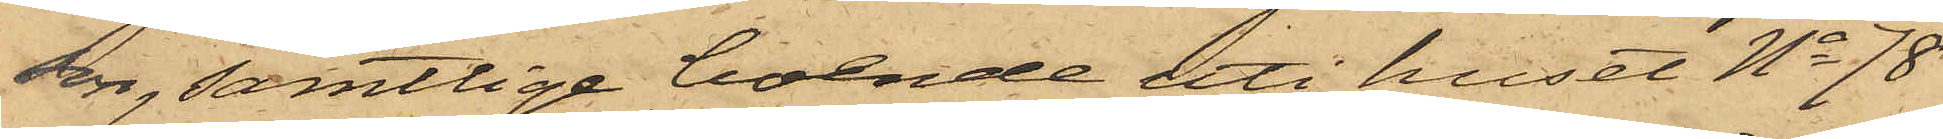son, samtlige boende uti huset No 78
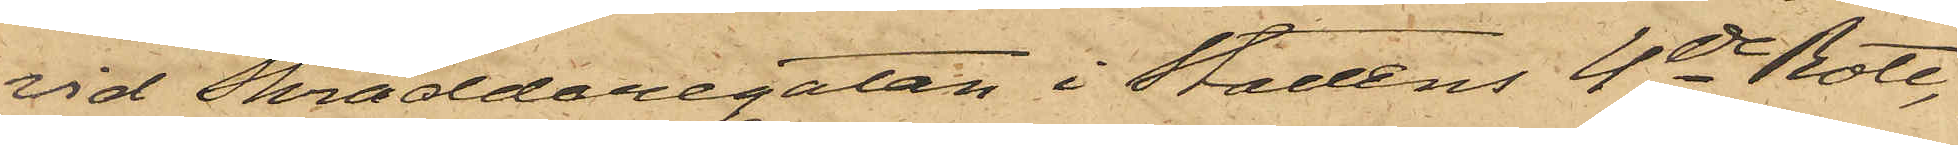vid Skräddaregatan i Stadens 4de Rote,
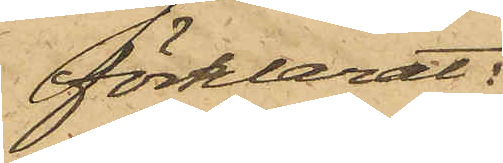förklarat:
